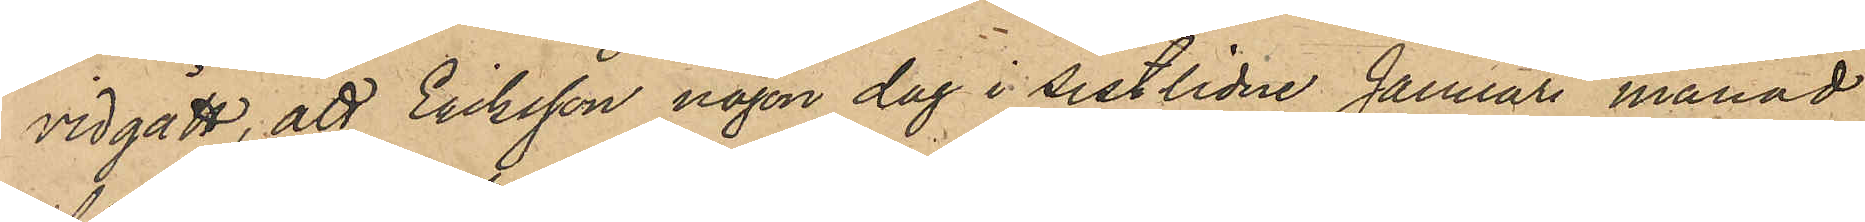vidgått, att Eriksson någon dag i sistlidne Januari månad
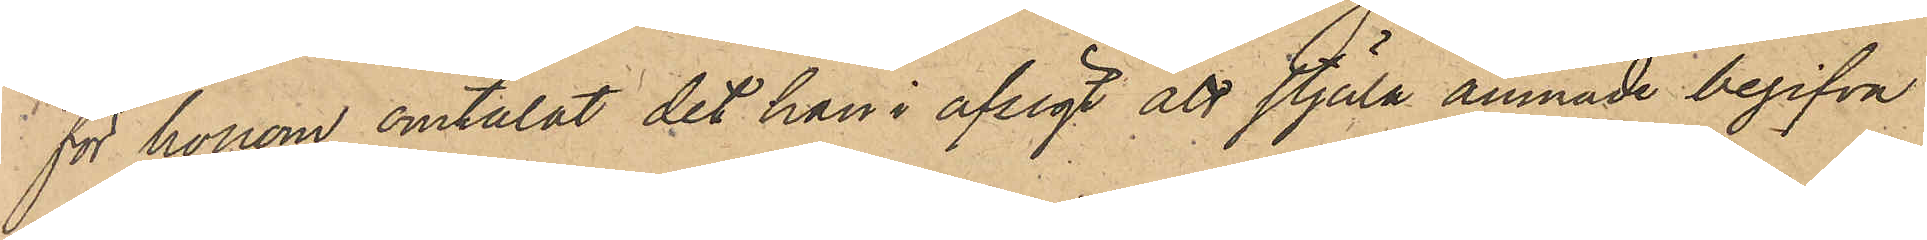för honom omtalat det han i afsigt att stjäla ämnade begifva
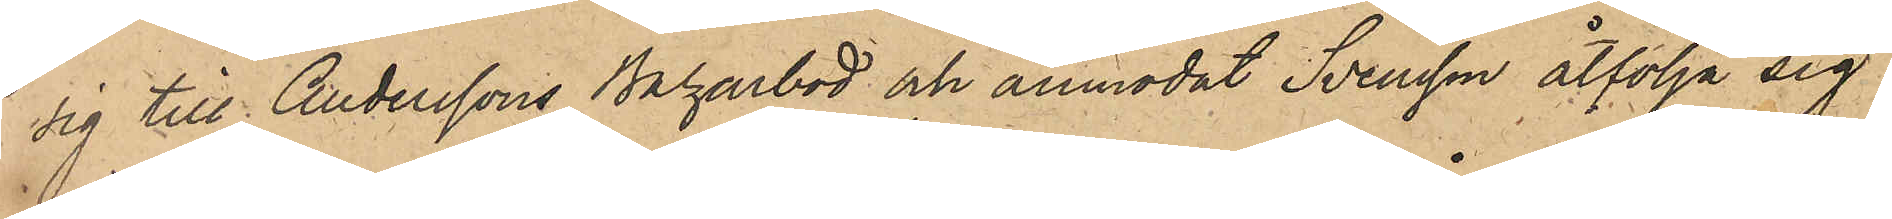sig till Anderssons Bagarbod och anmodat Svensson åtfölja sig
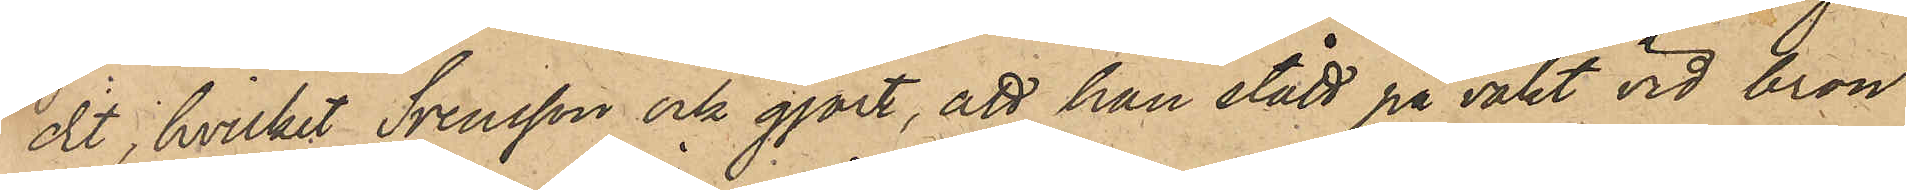dit, hvilket Svensson ock gjort, att han stådt på vakt vid bron
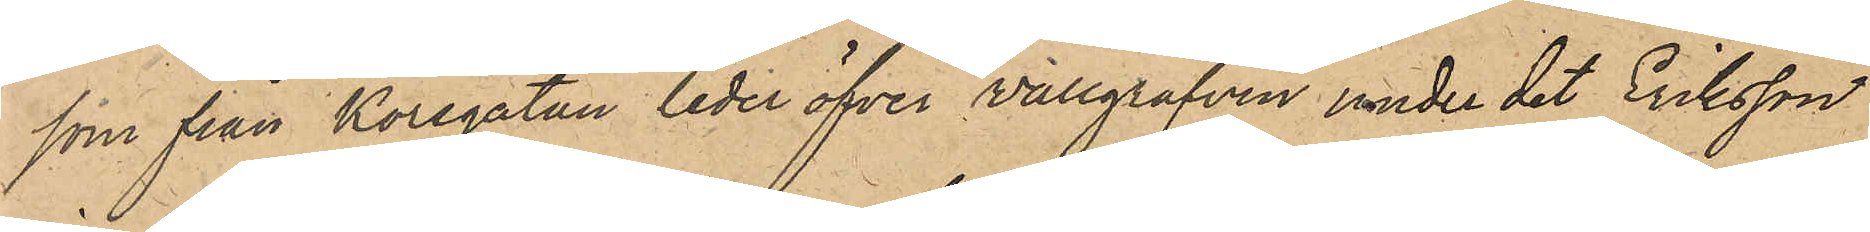som från Korsgatan leder öfver Wallgrafven under det Eriksson
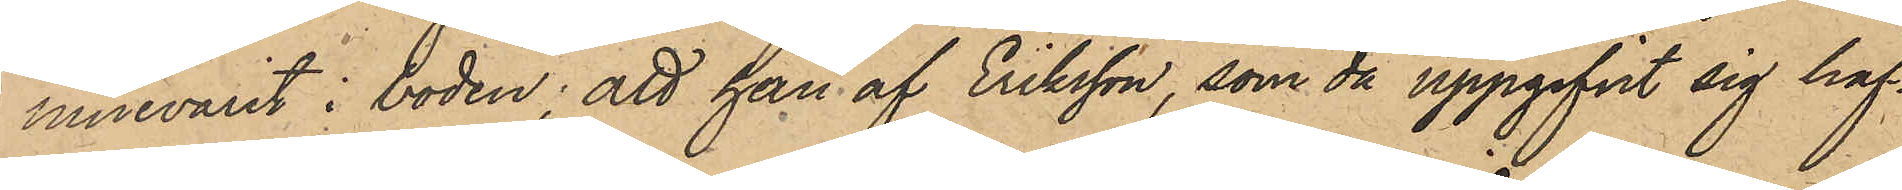innevarit i boden; att han af Eriksson, som då uppgifvit sig haf¬
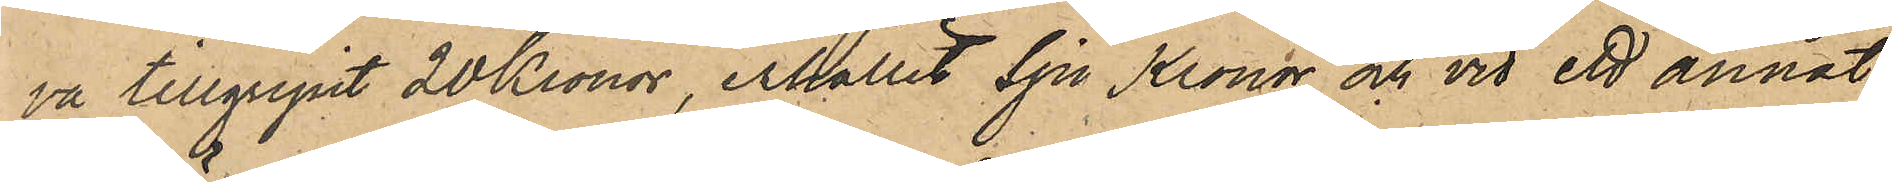va tillgripit 20 Kronor, erhållit Sju Kronor och vid ett annat
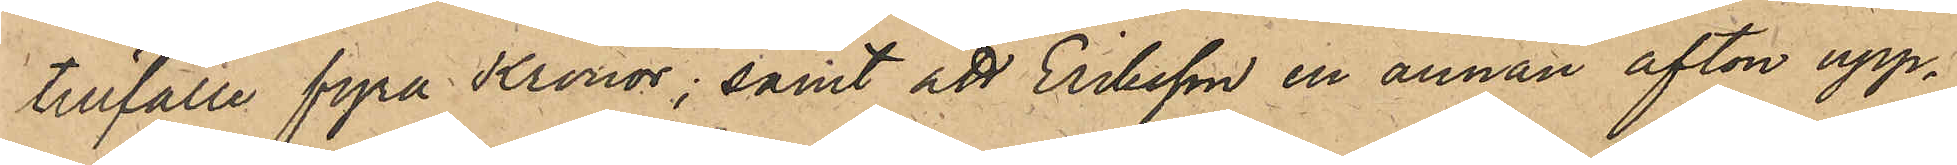tillfälle fyra Kronor; samt att Eriksson en annan afton upp¬
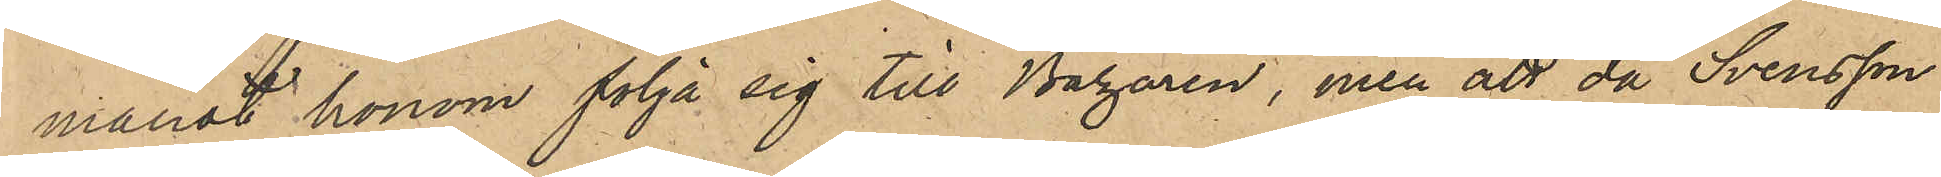manat honom följa sig till Bazaren, men att då Svensson
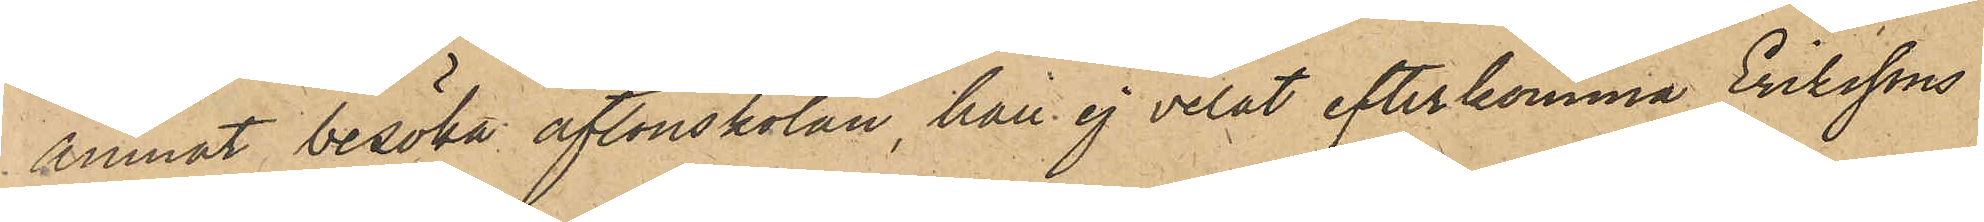ämnat besöka aftonskolan, ha ej velat efterkomma Erikssons
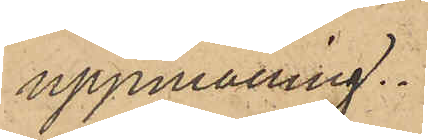uppmaning.
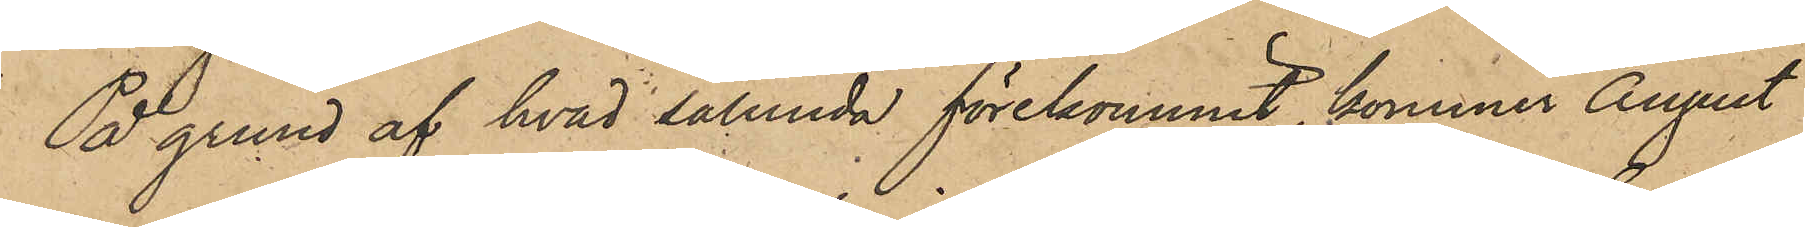På grund af hvad sålunda förekommit, kommer August
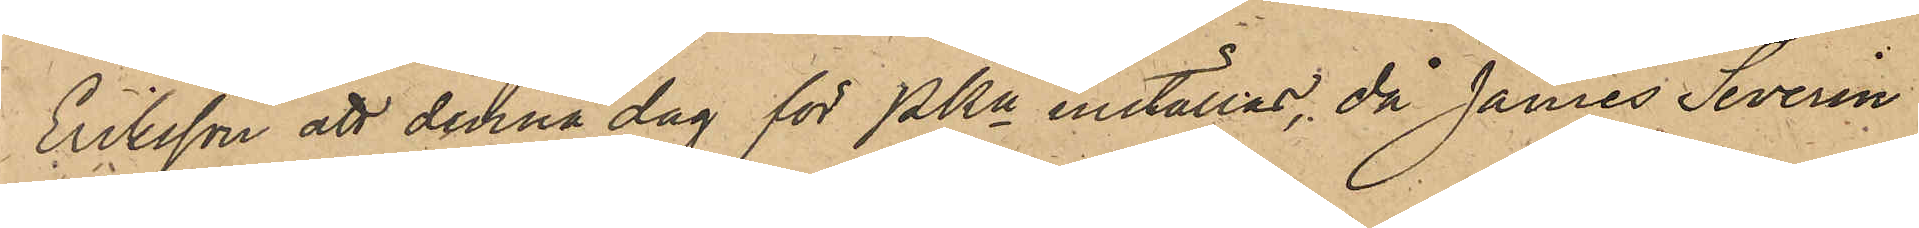Eriksson att denna dag för PKn inställas, då James Severin
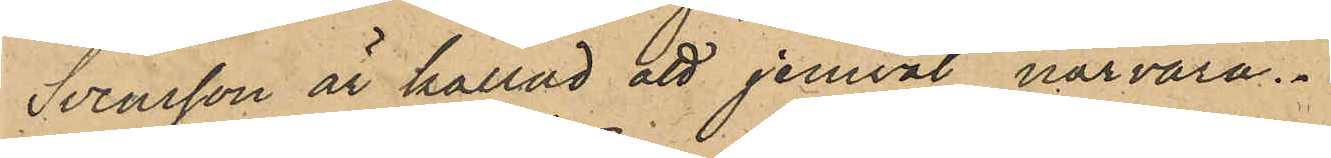Svensson är kallad att jemväl närvara.
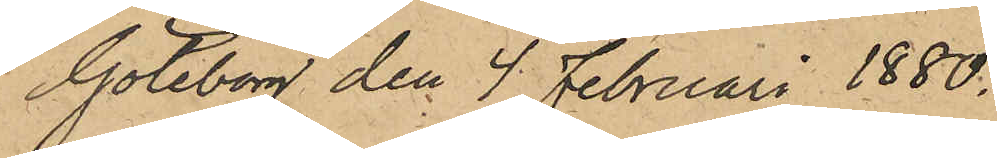Göteborg den 4 Februari 1880.
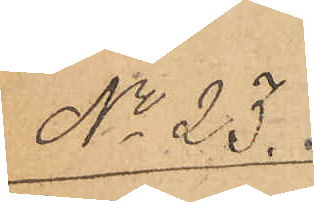No 23.
